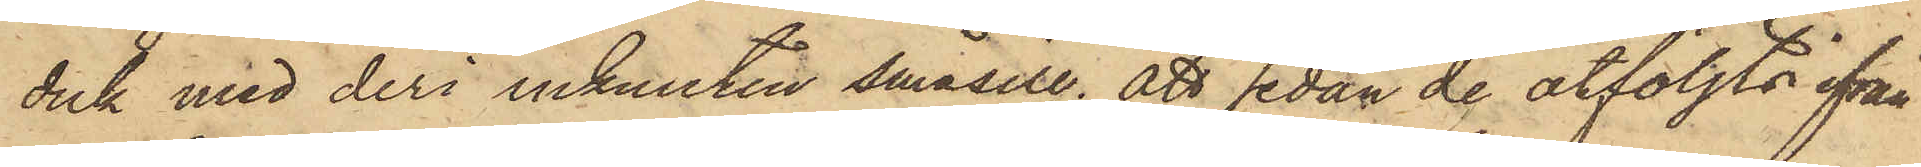duk med deri inknuten småsill; att sedan de åtföljts ifrån
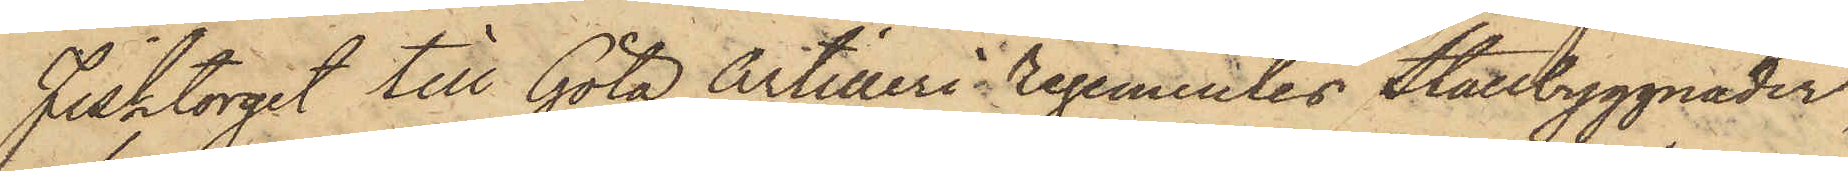Fisktorget till Göta Artilleri regementes Stallbyggnader,
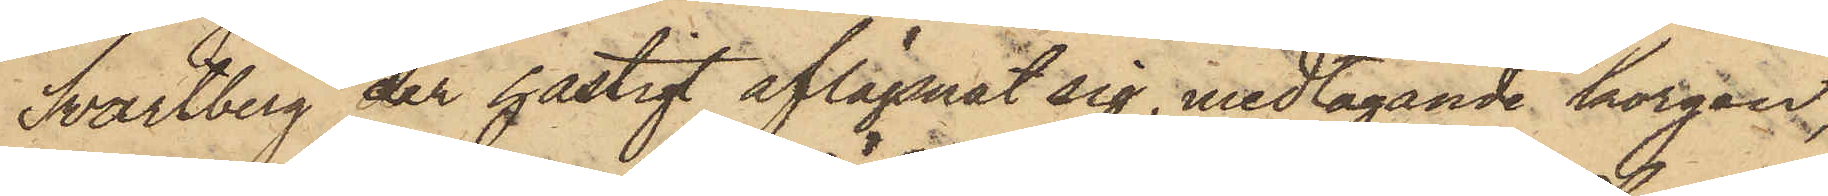Svartberg der hastigt aflägsnat sig, medtagande korgen,
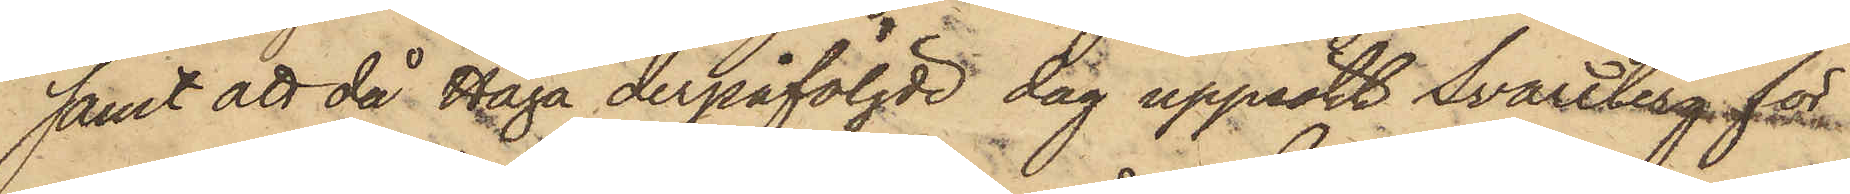samt att då Haga derpåföljde dag uppsökt Svartberg, för
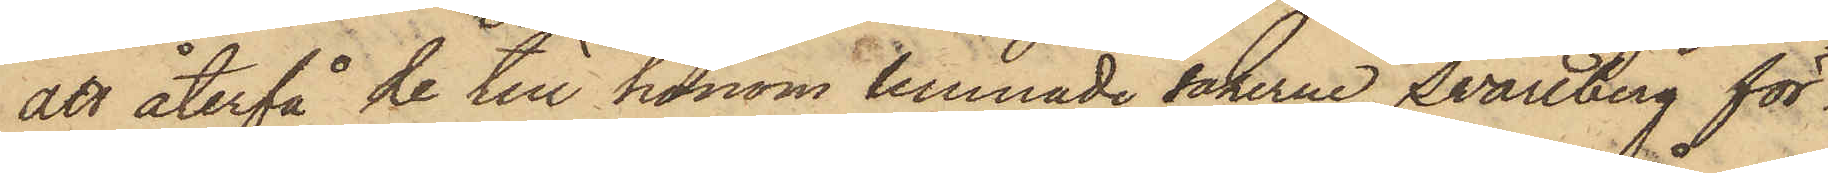att återfå de till honom lemnade sakerne, Svartberg för¬
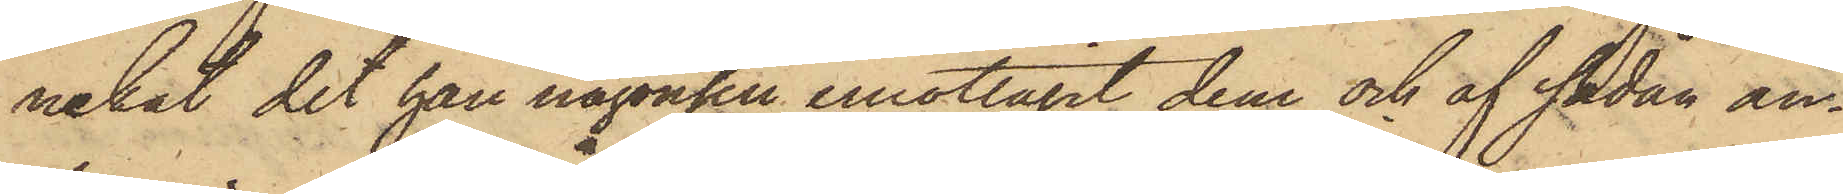nekat det han någonsin emottagit dem och af sådan an¬
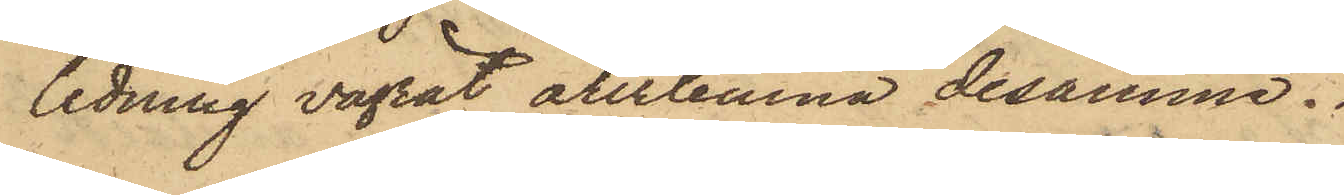ledning vägrat återlemna desamme.
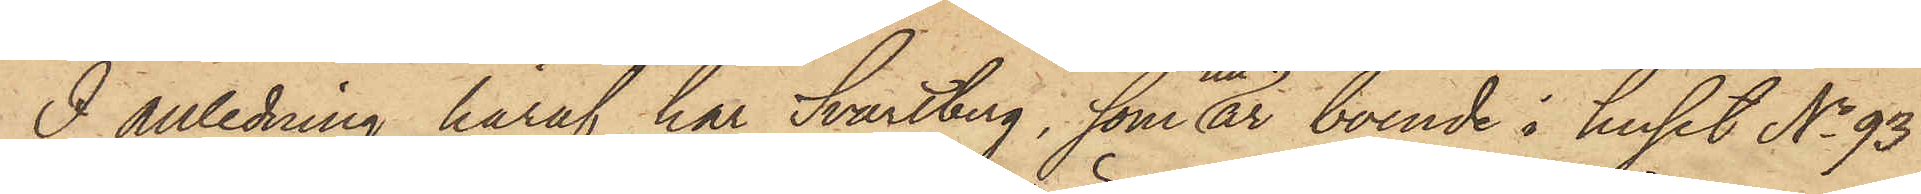I anledning häraf har Svartberg, som nu är boende i huset No 93
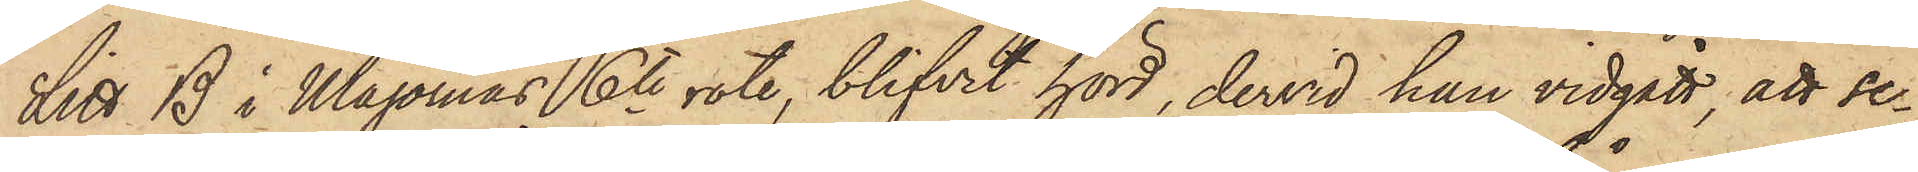Litt B i Majornas 6te rote, blifvit hörd, dervid han vidgått, att se¬
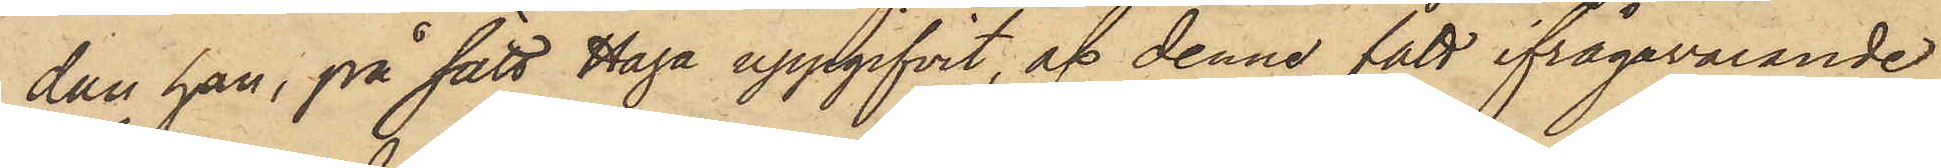dan han, på sätt Haga uppgifvit, af denne fått ifrågavarande
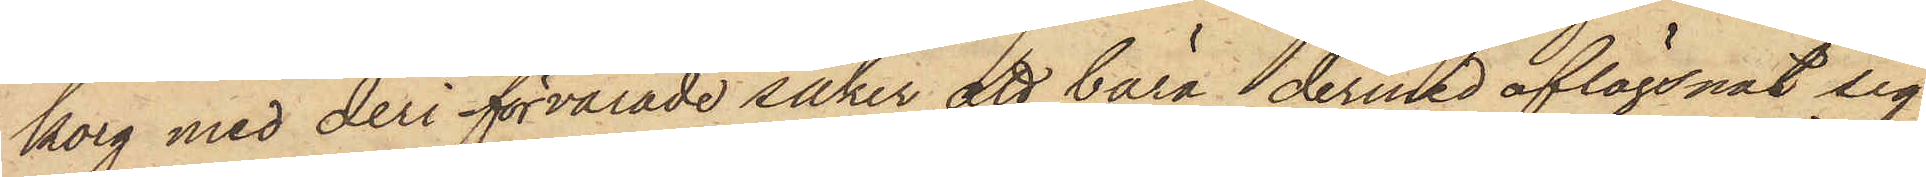korg med deri förvarade saker att bära, dermed aflägsnat sig
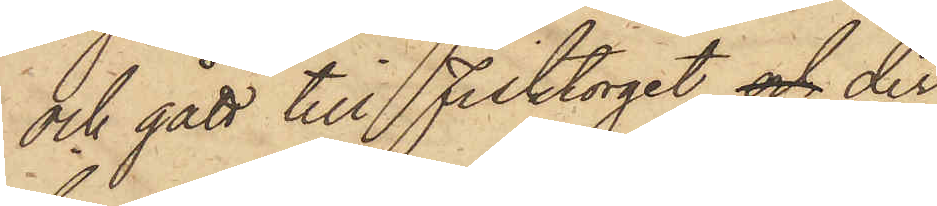och gått till Fisktorget och der
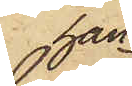han
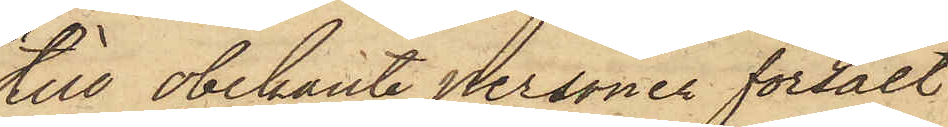till obekante personer försålt
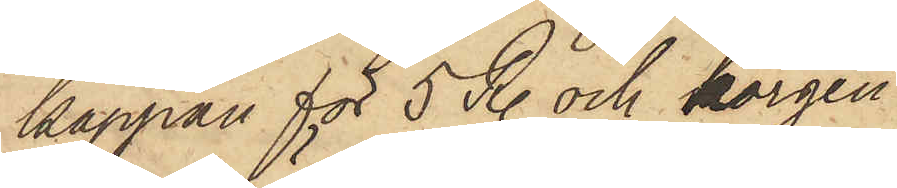kappan för 5 R. och korgen
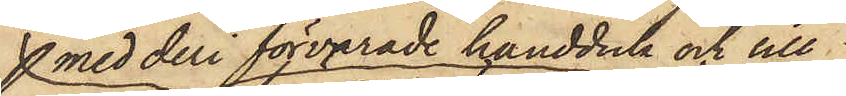med deri förvarade handduk och sill
